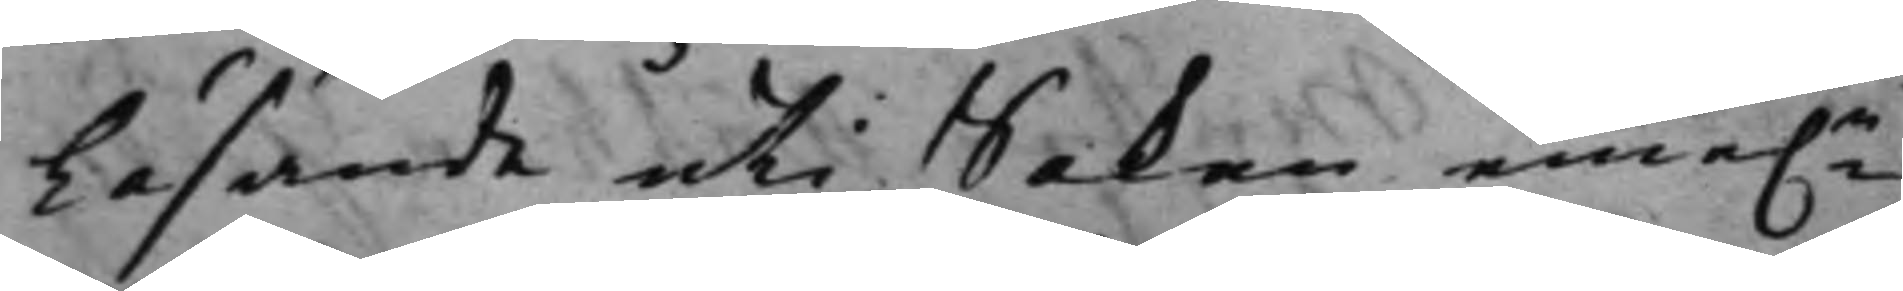Läsande uti Saken eme.n
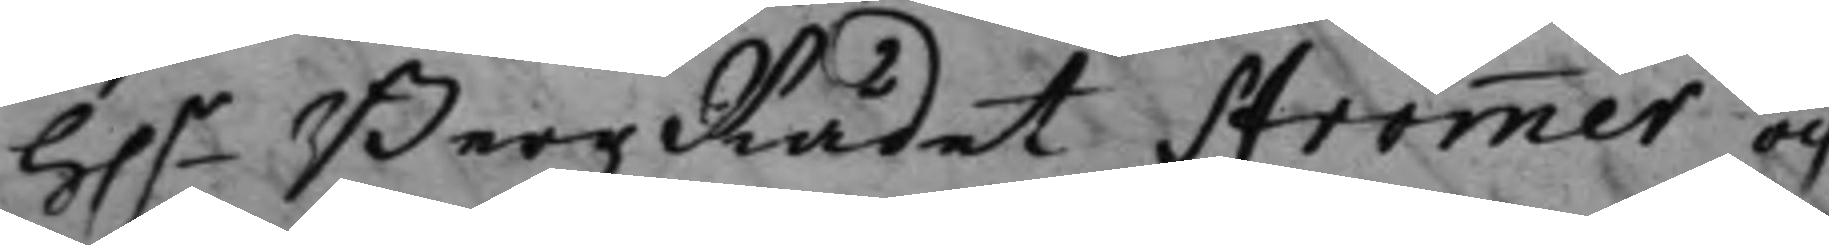h.r Bergz Rådet Strömmer och
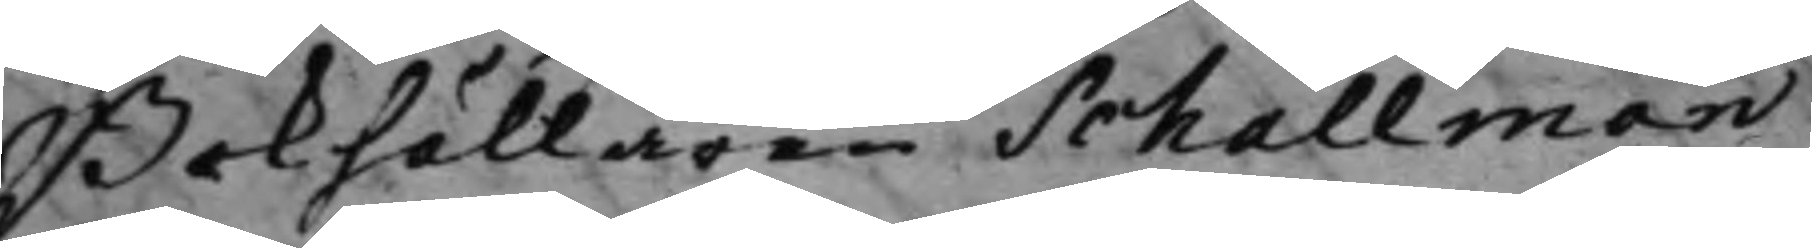Bokhållaren Schallman,
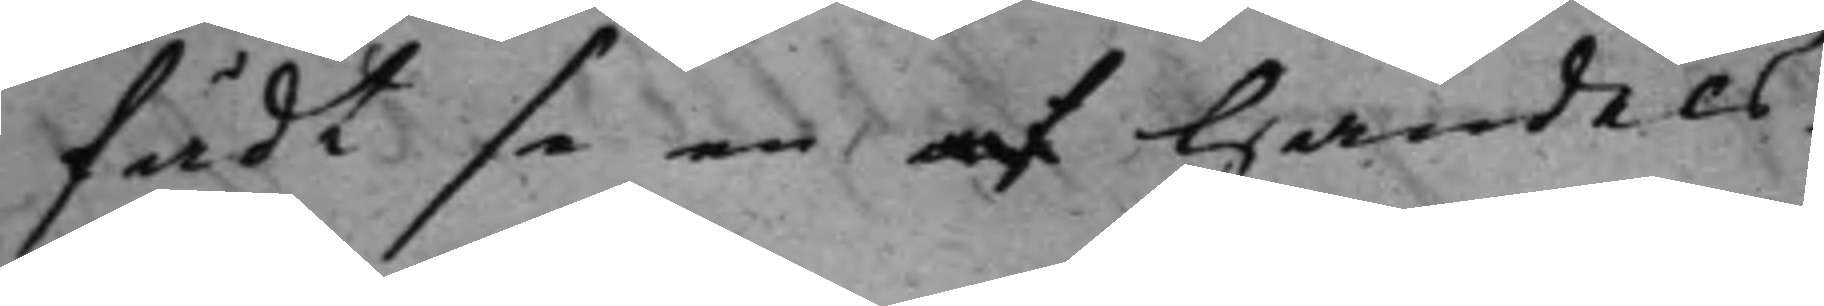fådt se en af handels¬
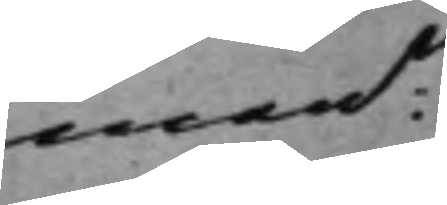mann
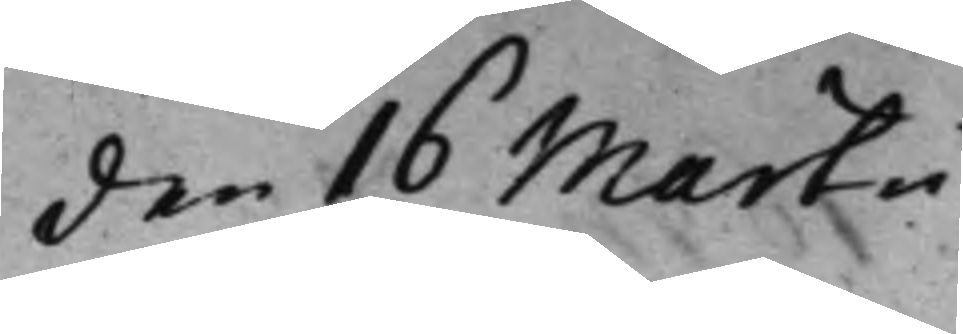den 16 Martii
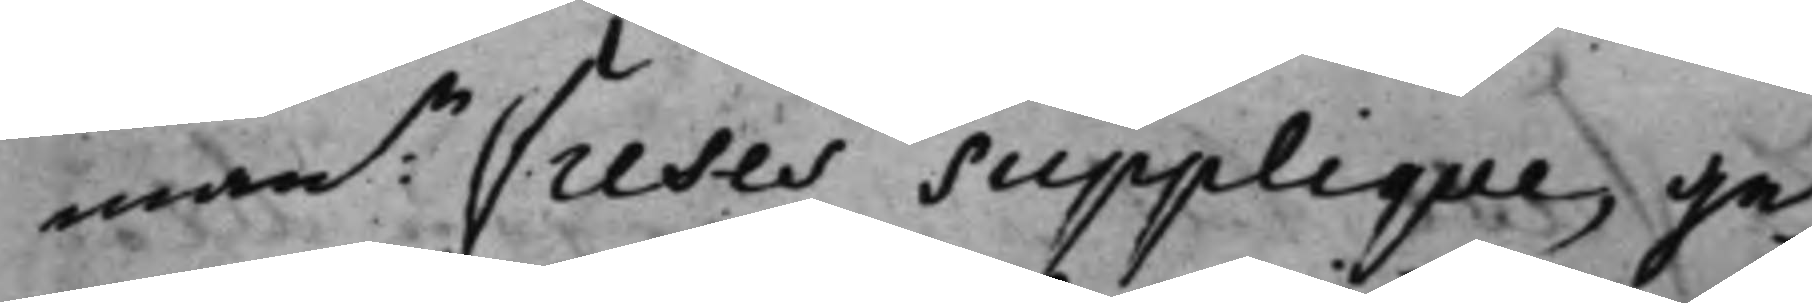mann Freses Supplique, ge¬
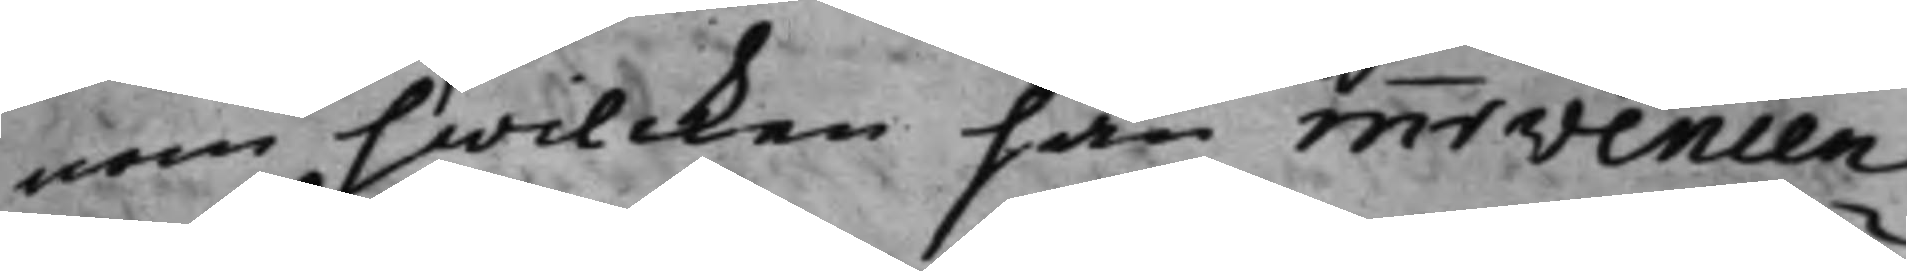nom hwilcken han innevenien¬
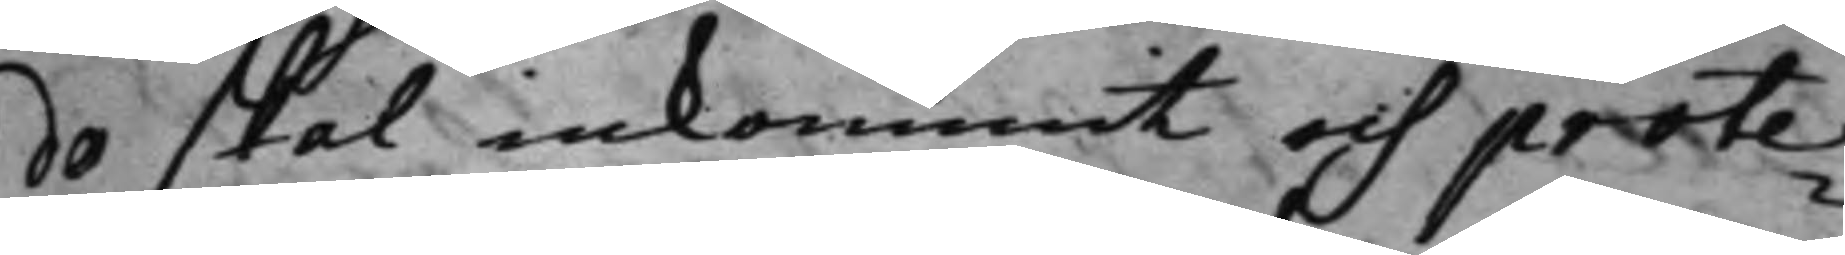do skal inkommit och prote¬
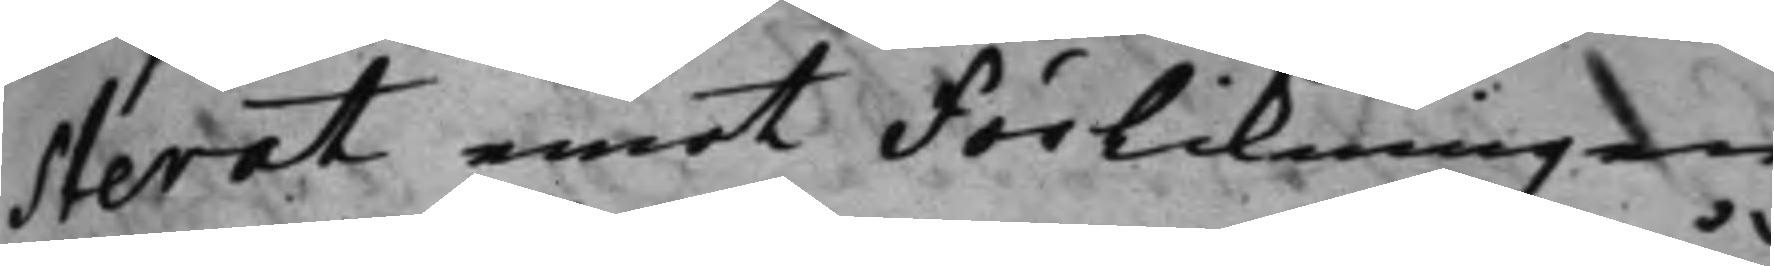sterat emot Förlikningen
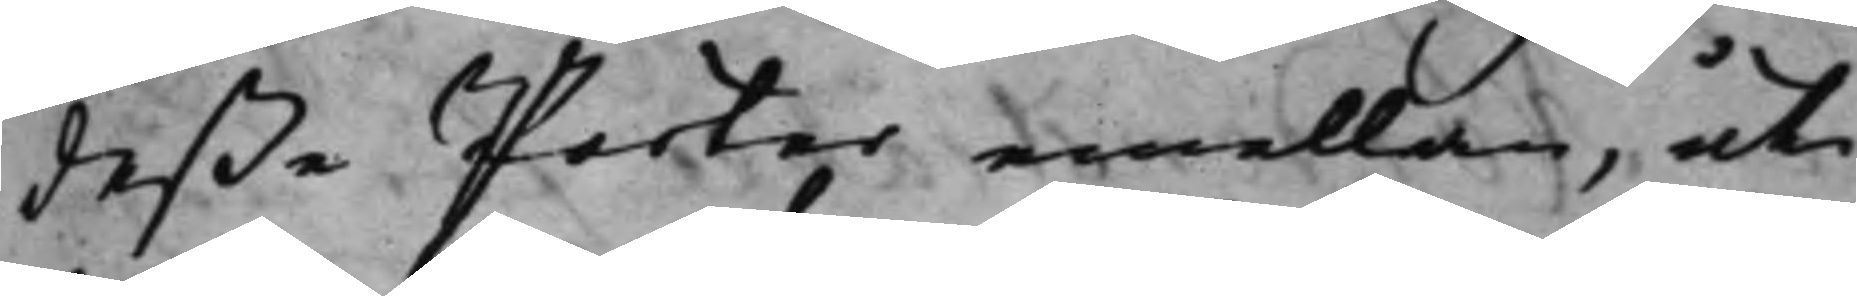deße Parter emellan, uti
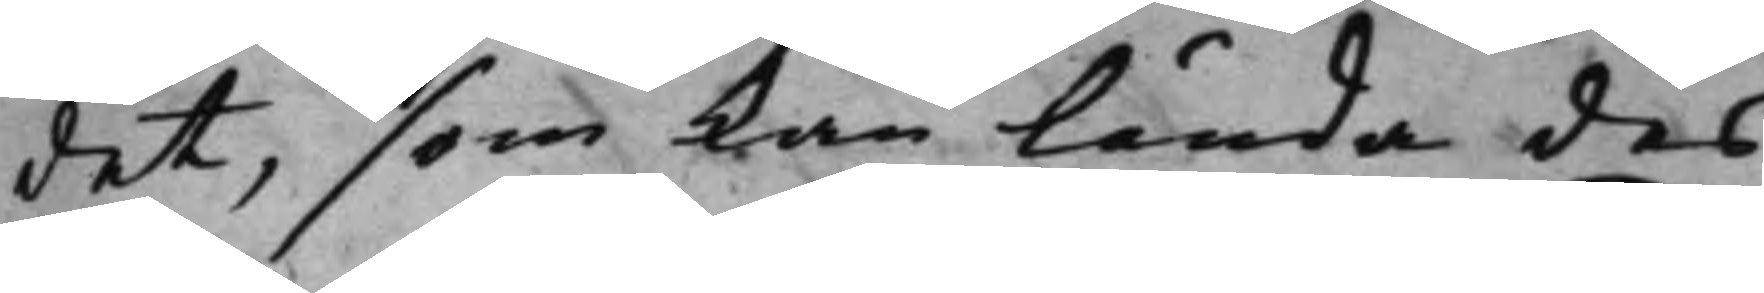det, som kan lända des
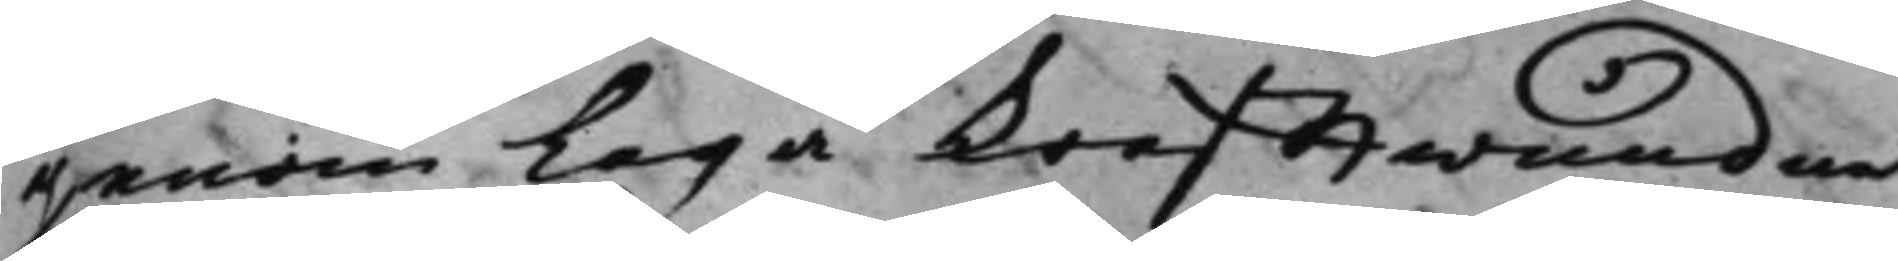genom Laga Krafftwundne
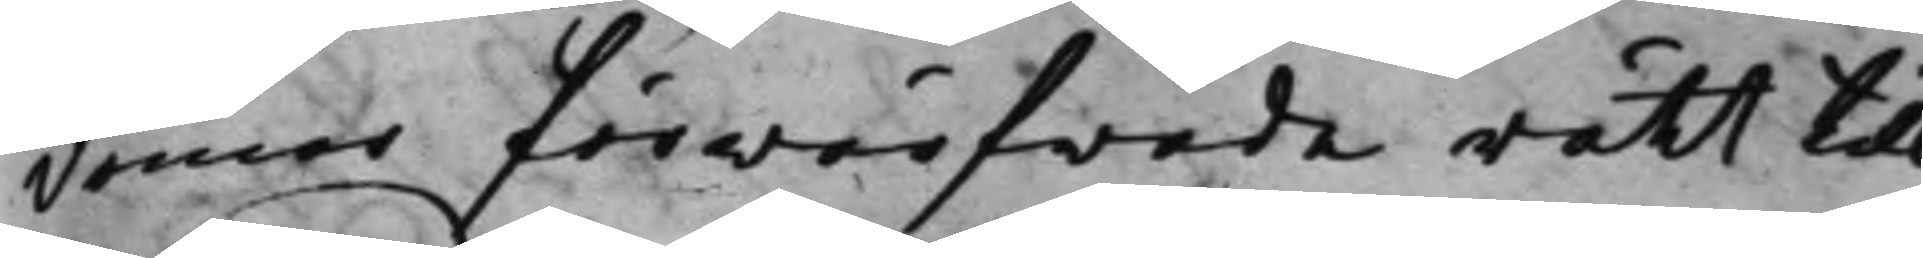domar förwärfwade rätt till
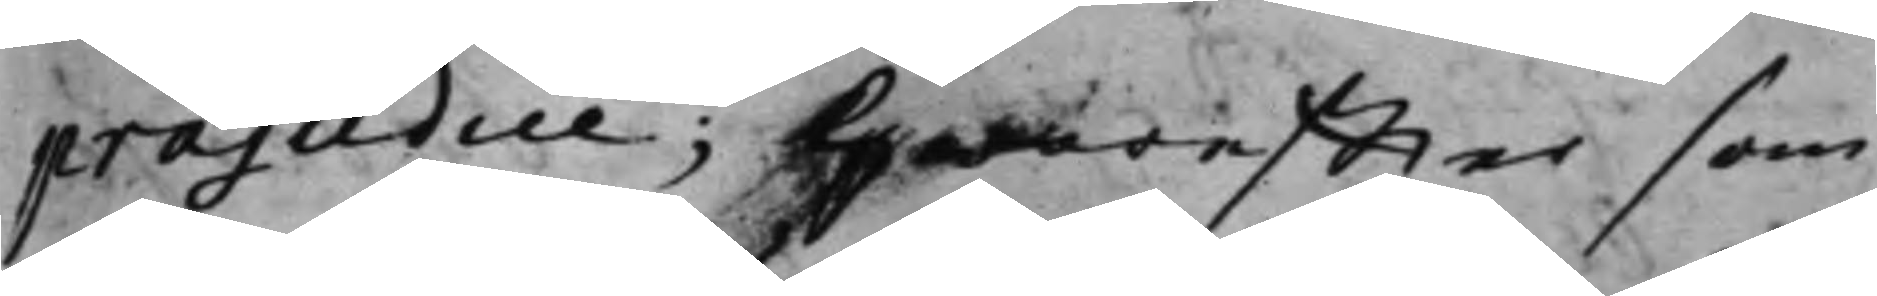præjedice; Hwareffter som
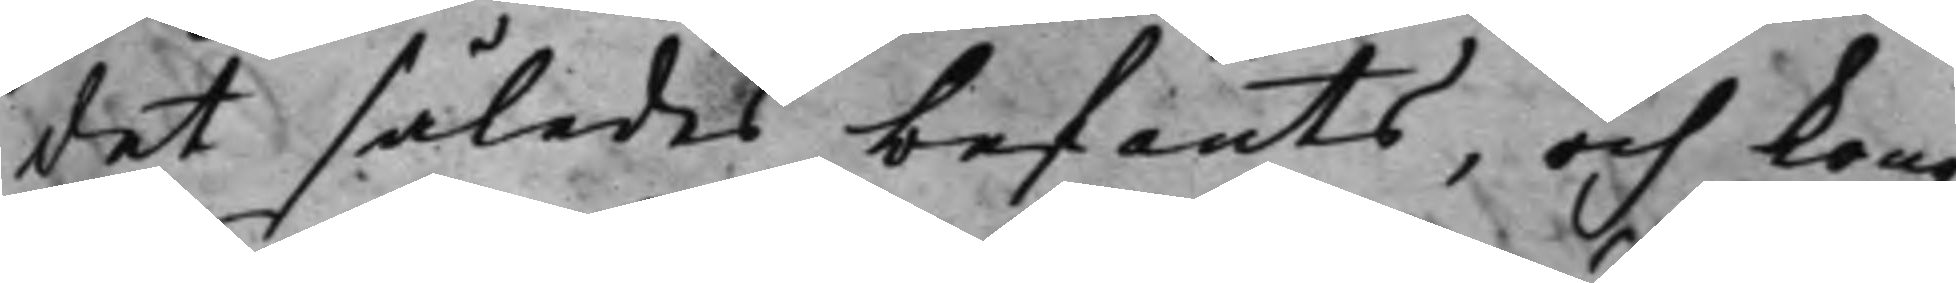det således befants, och Kong.
